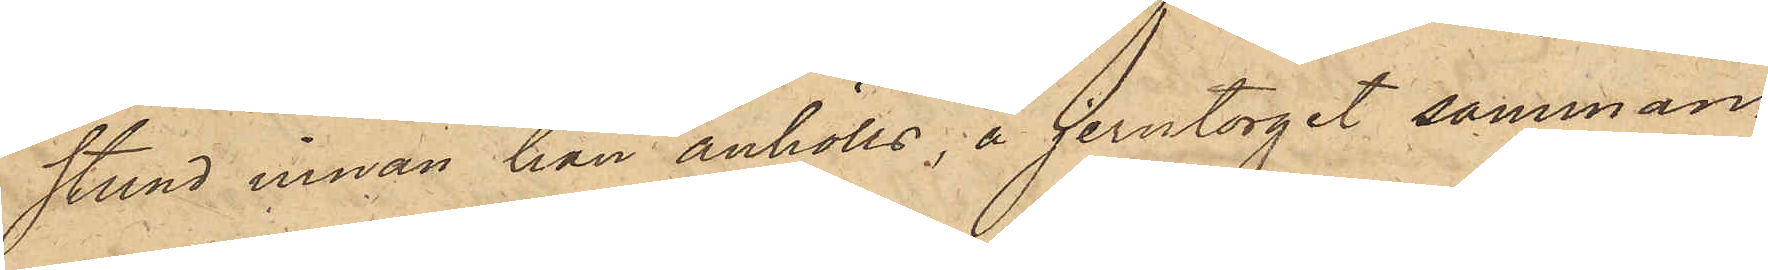stund innan han anhölls, å Jerntorget samman¬
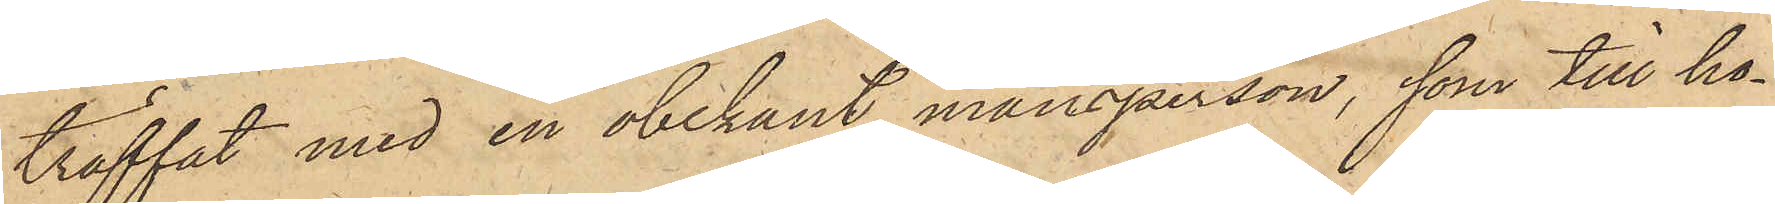träffat med en obekant mansperson, som till ho¬
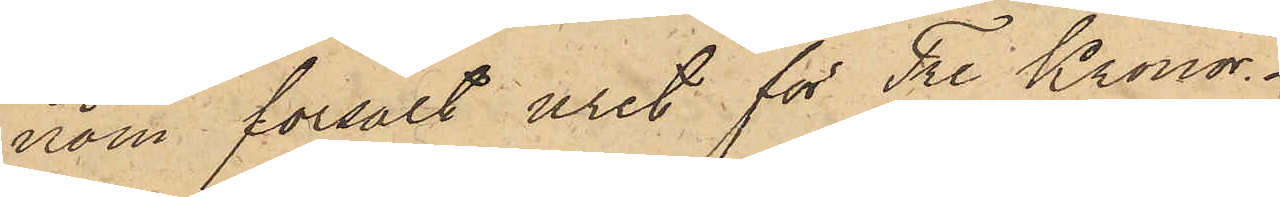nom försålt uret för Tre Kronor.
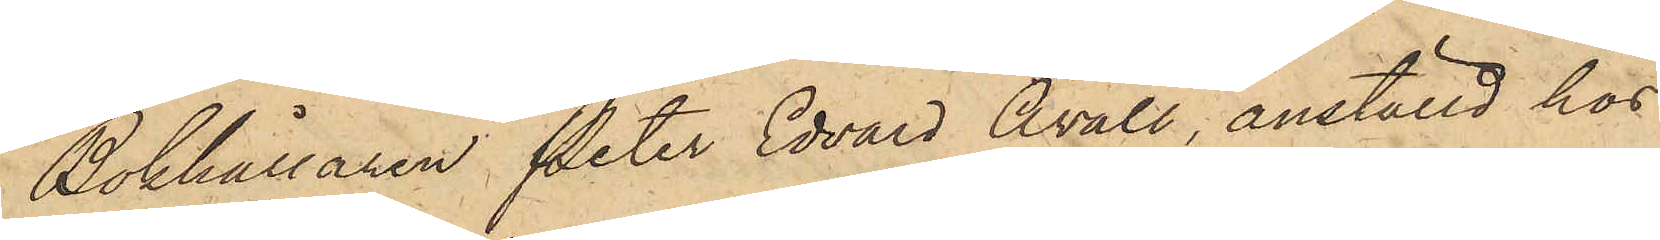Bokhållaren Peter Edvard Åvall, anställd hos
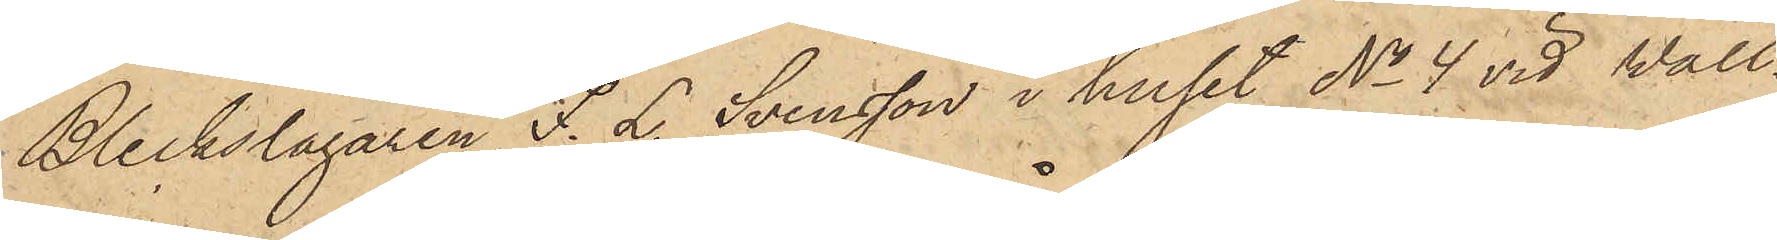Bleckslagaren F. L. Svensson i huset No 4 vid Wall¬
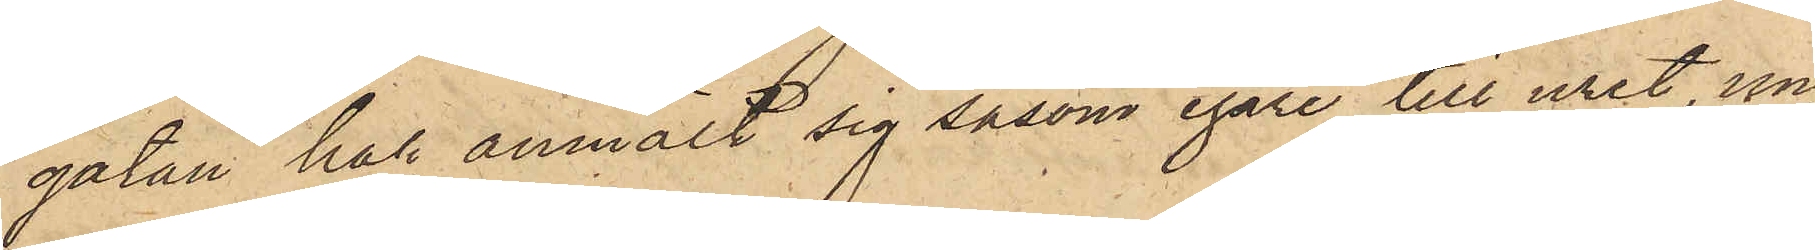gatan har anmält sig såsom egare till uret, un¬
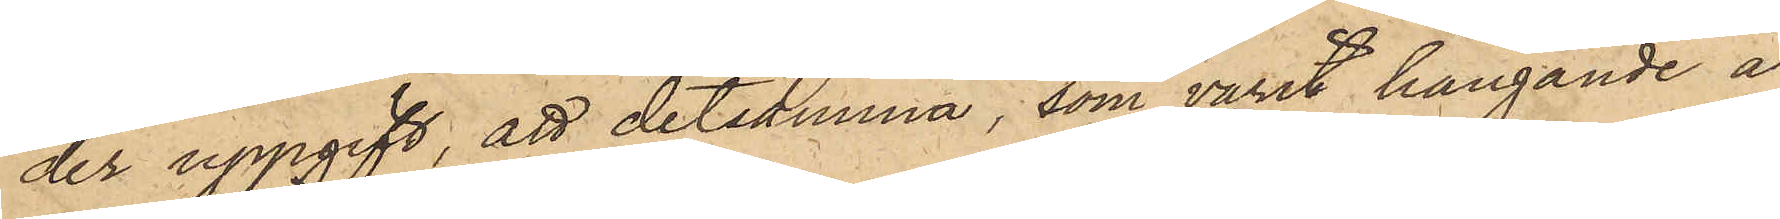der uppgift, att detsamma, som varit hängande å
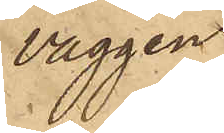väggen
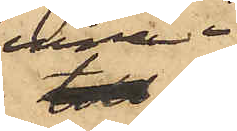inne i
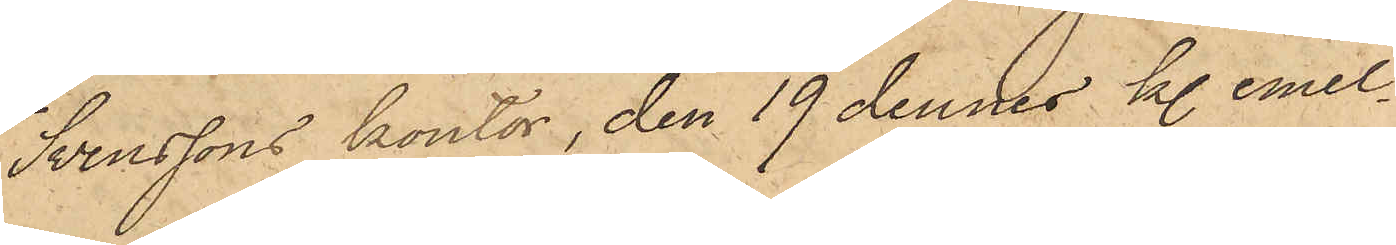Svenssons kontor, den 19 dennes kl. emel¬
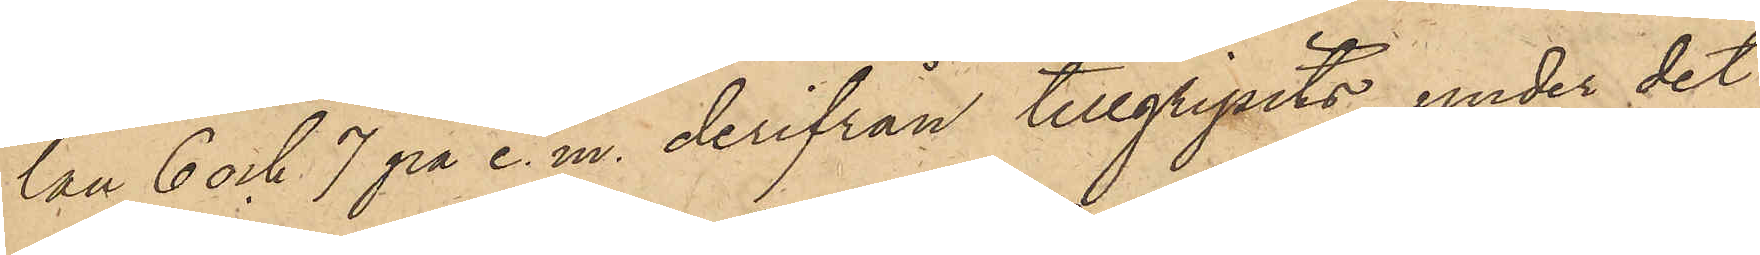lan 6 och 7 på e. m. derifrån tillgripits, under det
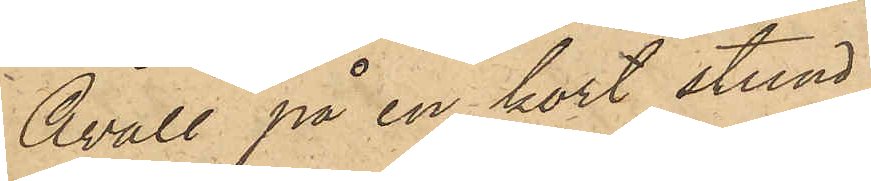Åvall på en kort stund
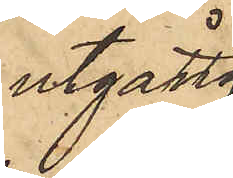utgått.
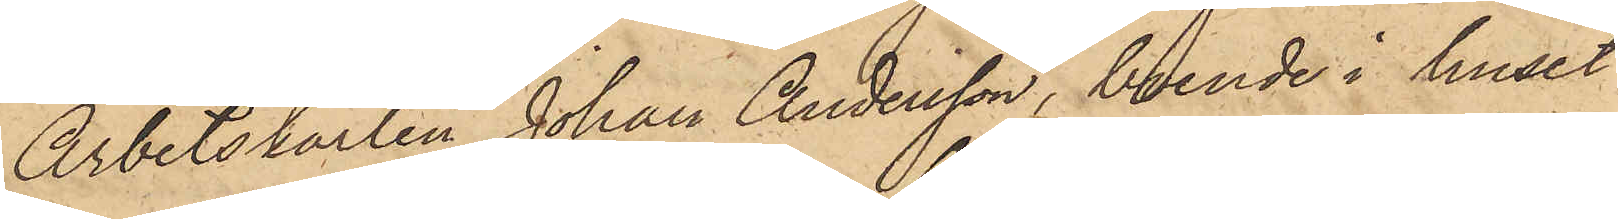Arbetskarlen Johan Andersson, boende i huset
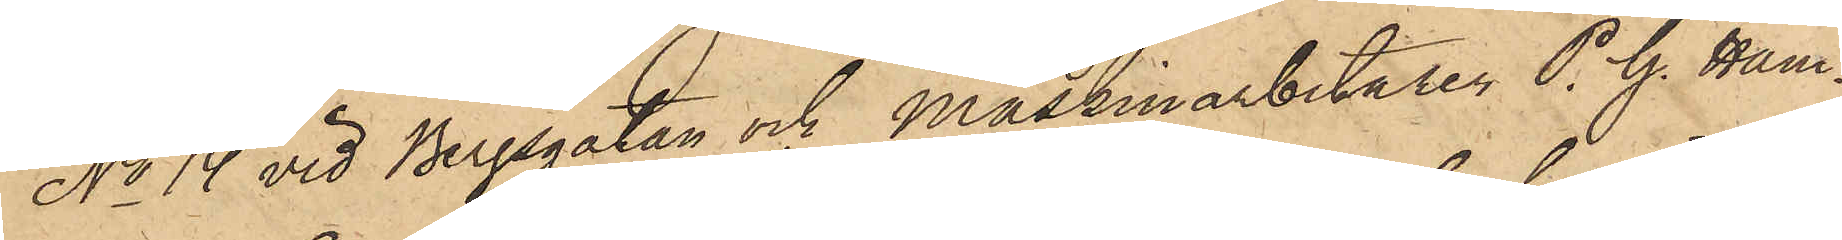No 14 vid Bergsgatan och maskinarbetaren P. G. Ham¬
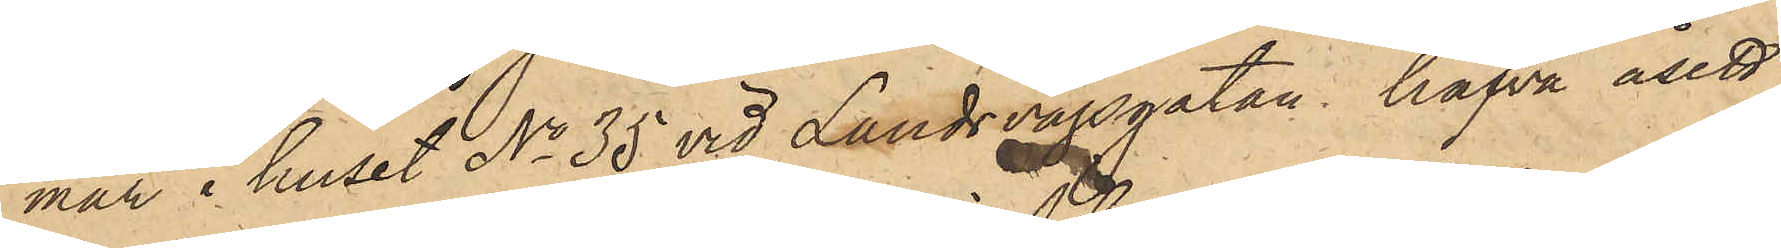mar i huset No 35 vid Landsvägsgatan, hafva åsett
